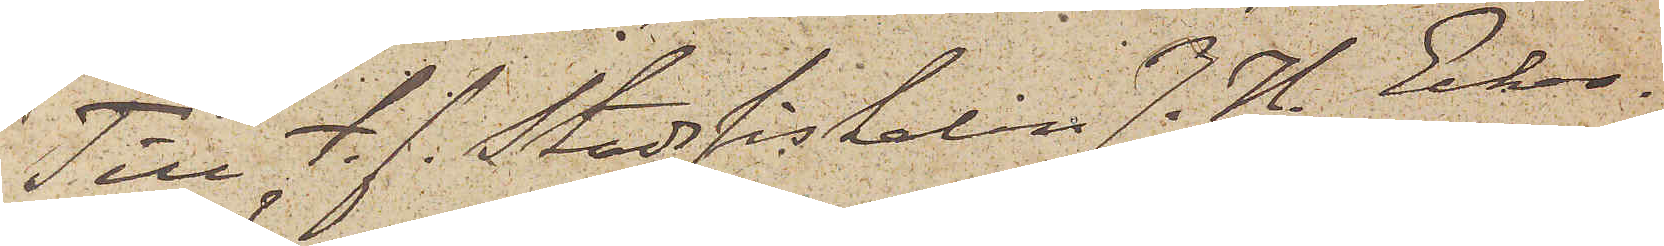Till f. f. Stadsfiskalen J. H. Ecker¬
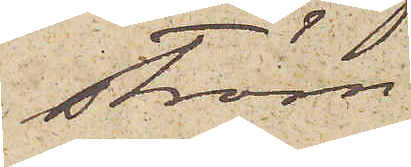ström
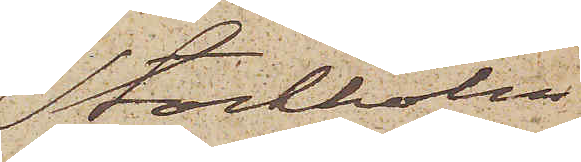Stockholm
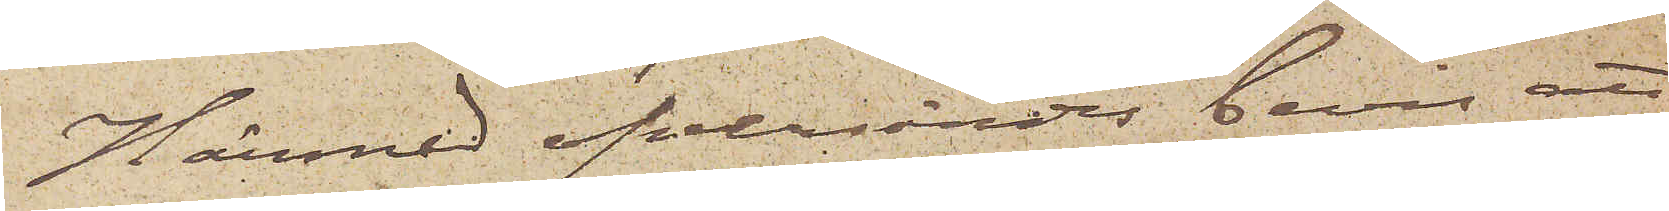Härmed öfversändes bevis att
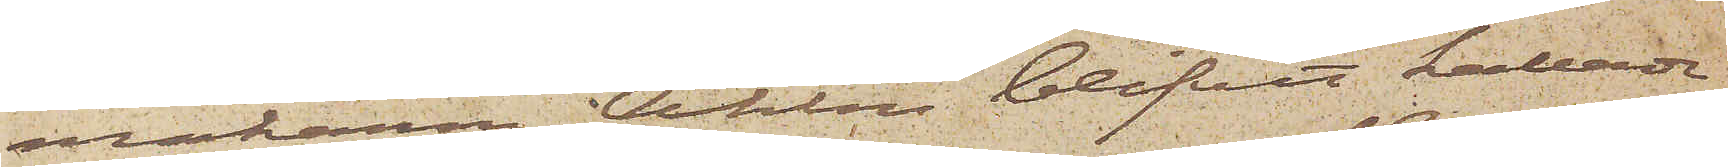makarna Ahlin blifvit kallade
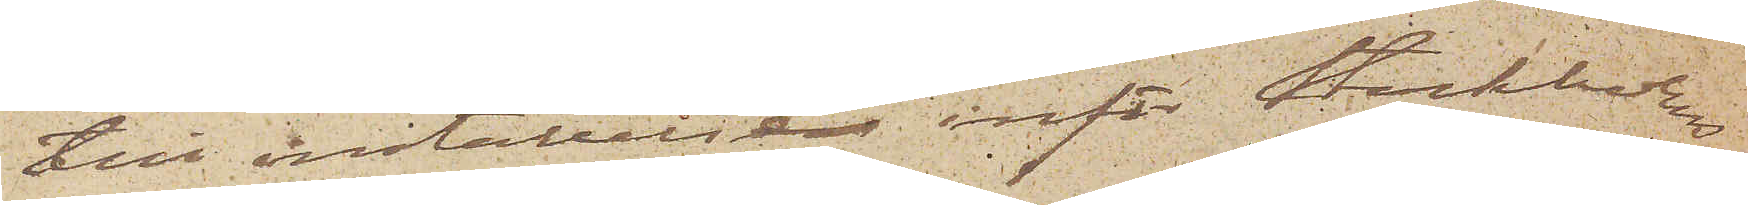till inställelse inför Stockholms
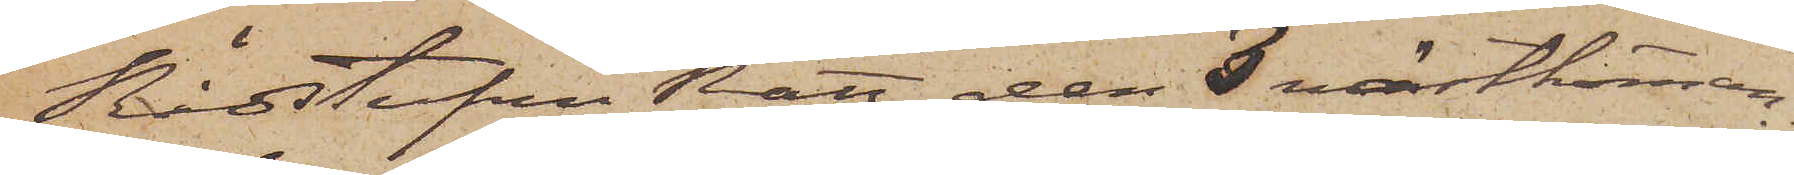Rådstufvu Rätt den 3 nästkomman¬
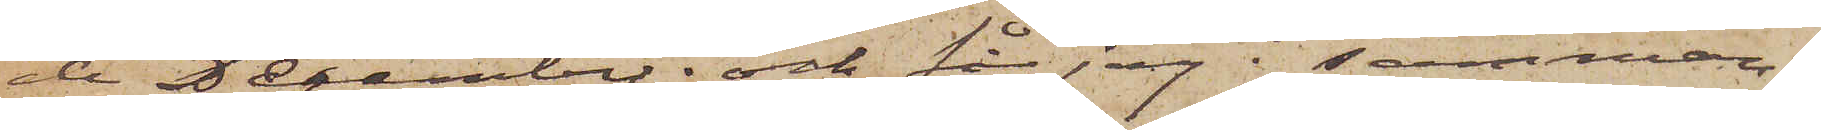de December; och får jag i samman¬
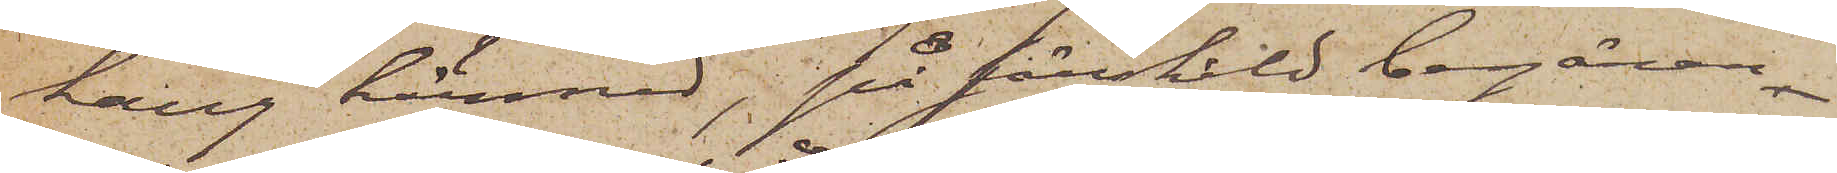hang härmed, på särskild begäran 
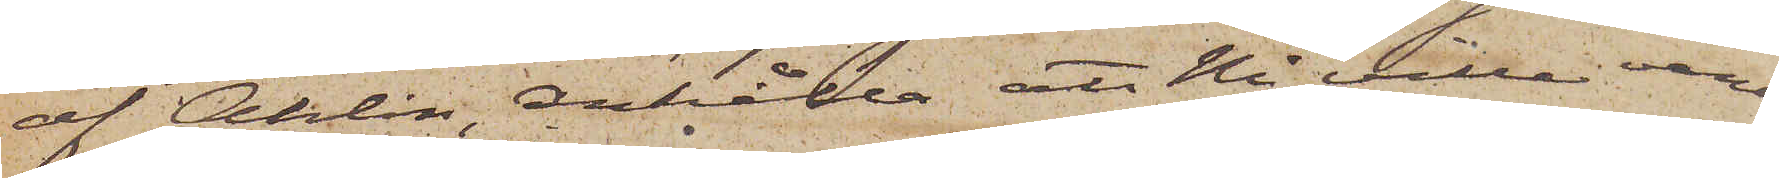af Ahlin, anhålla att Ni ville vara
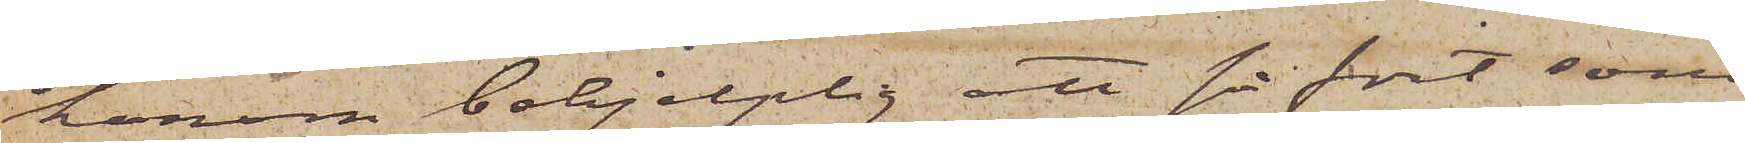honom behjelplig att så fort som
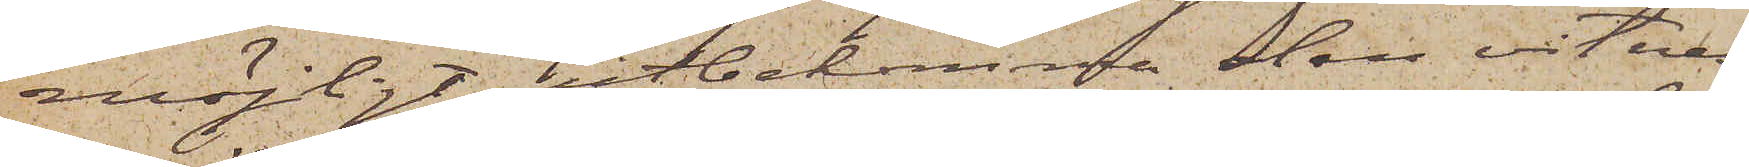möjligt utbekomma den vitnes¬
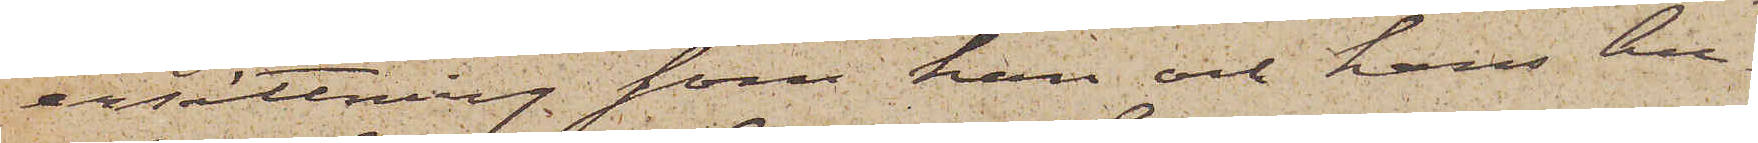ersättning som han och hans hu¬
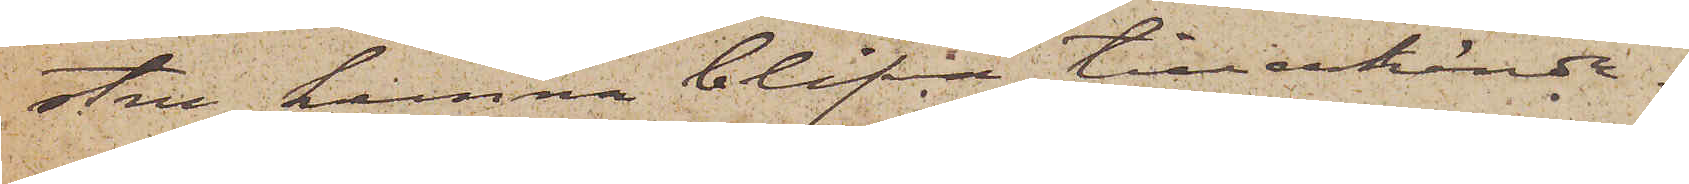stru kunna blifva tillerkände.
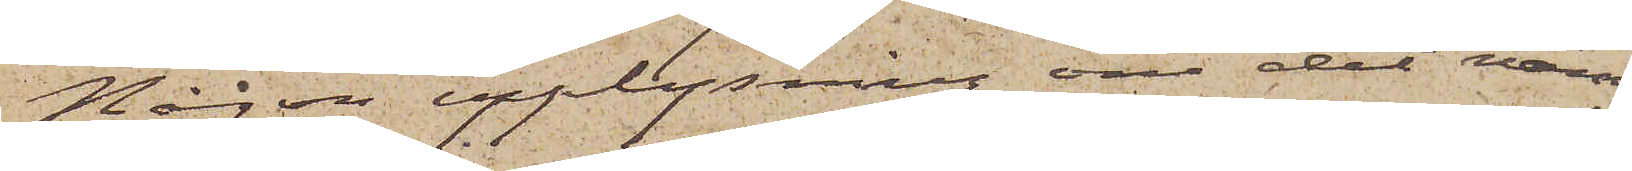Någon upplysning om det namn
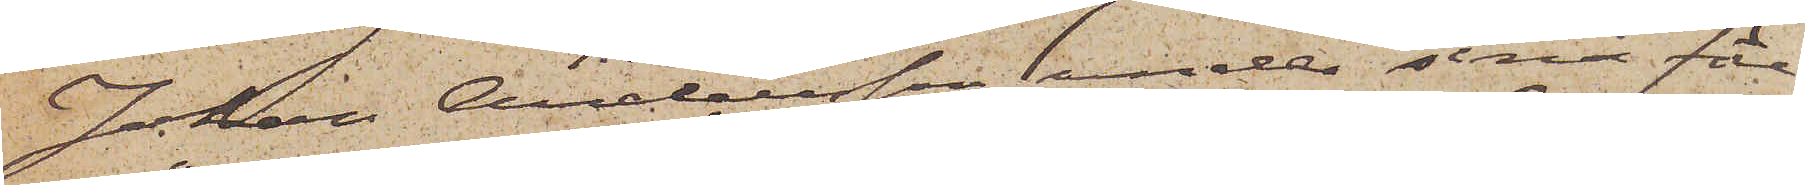Johan Andersson under sina före¬
